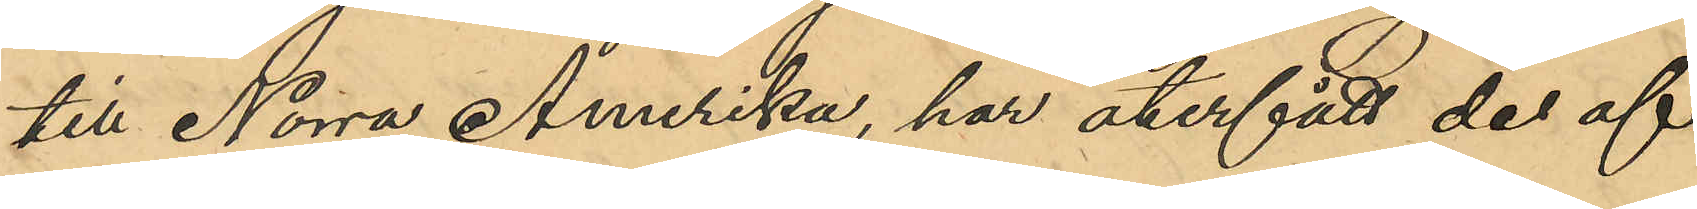till Norra Amerika, har återfått de af
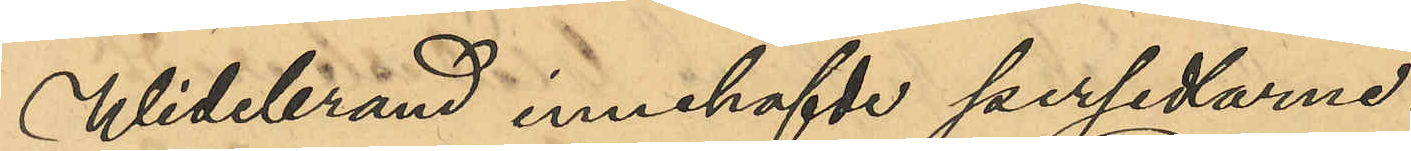Widebrand innehafde persedlarne.
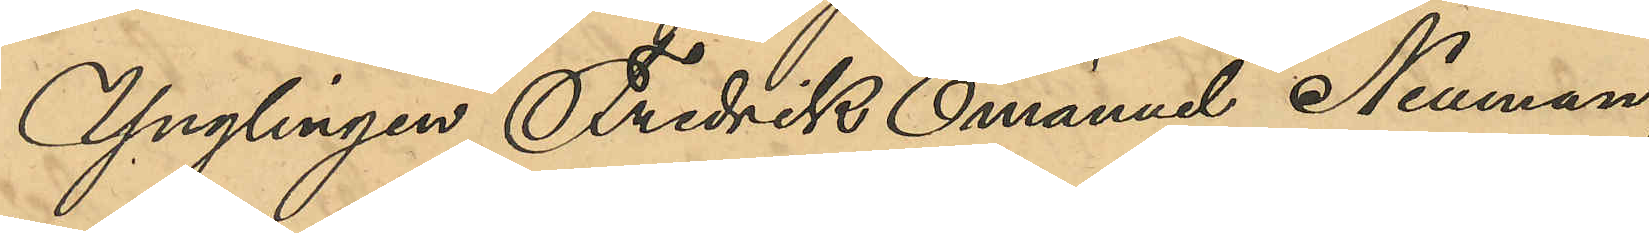Ynglingen Fredrik Emanuel Neuman,
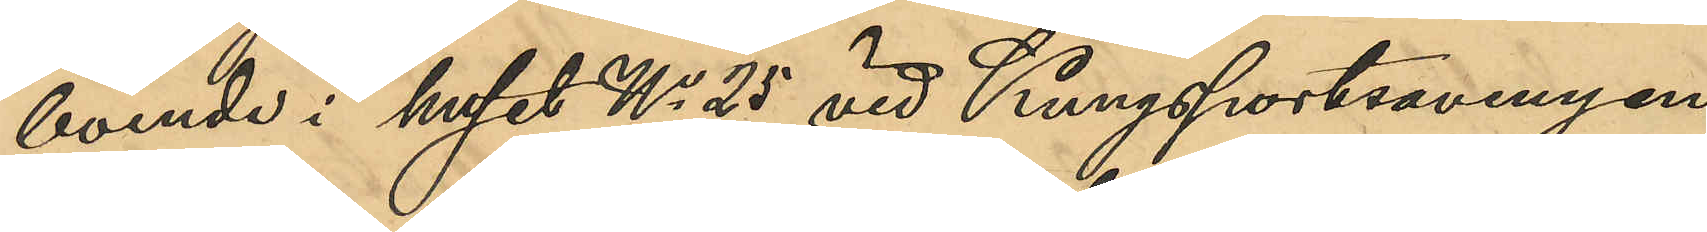boende i huset No 25 vid Kungsportsavenyen,
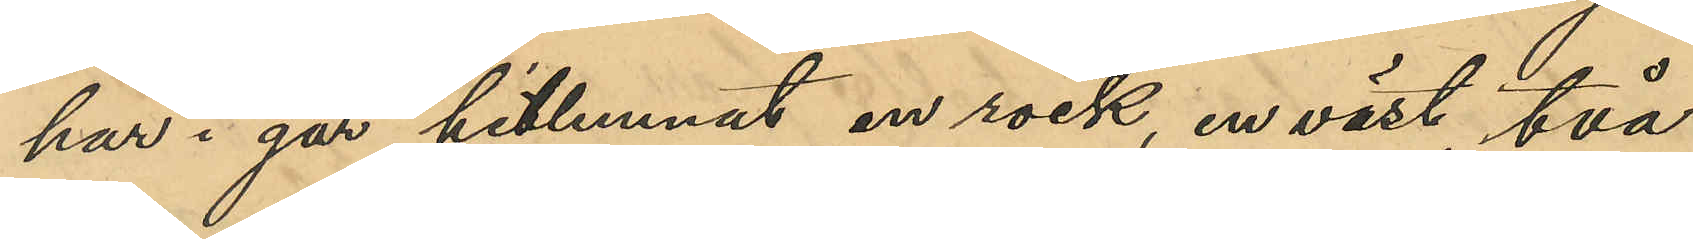har i går hitlemnat en rock, en väst, två
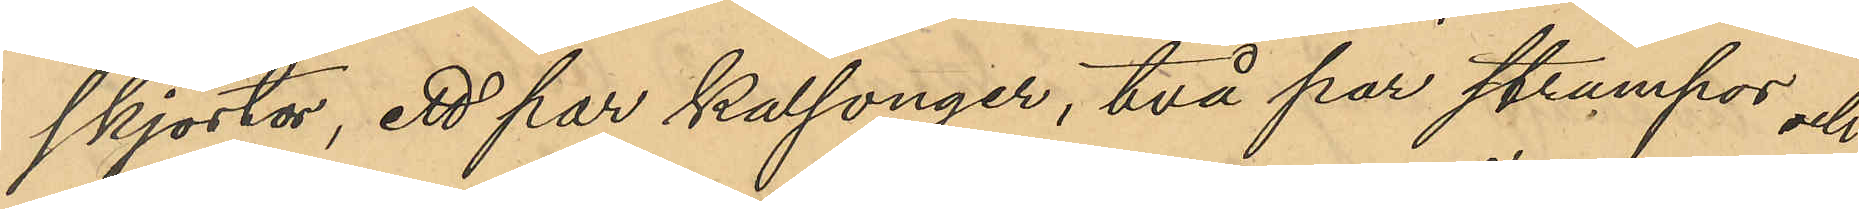skjortor, ett par kalsonger, två par strumpor och
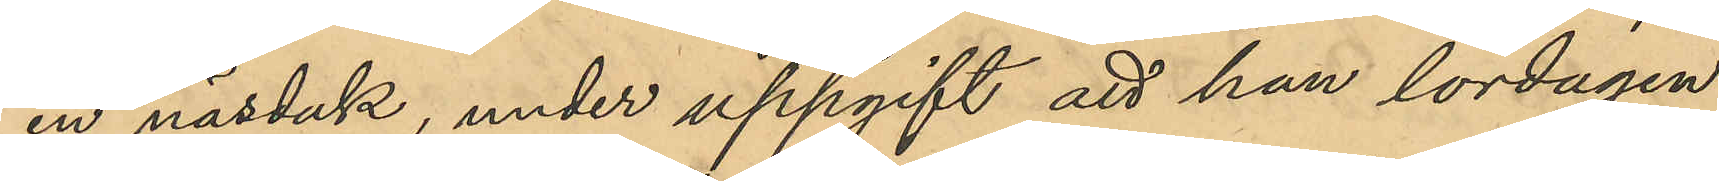en näsduk, under uppgift att han lördagen
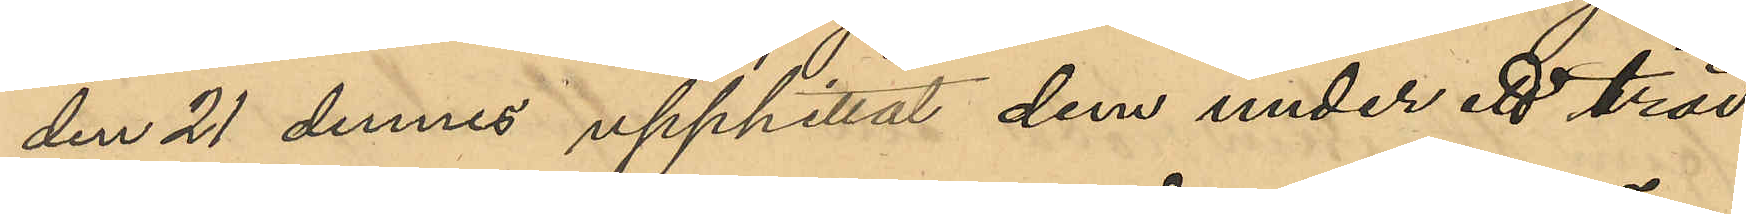den 21 dennes upphittat dem under ett träd
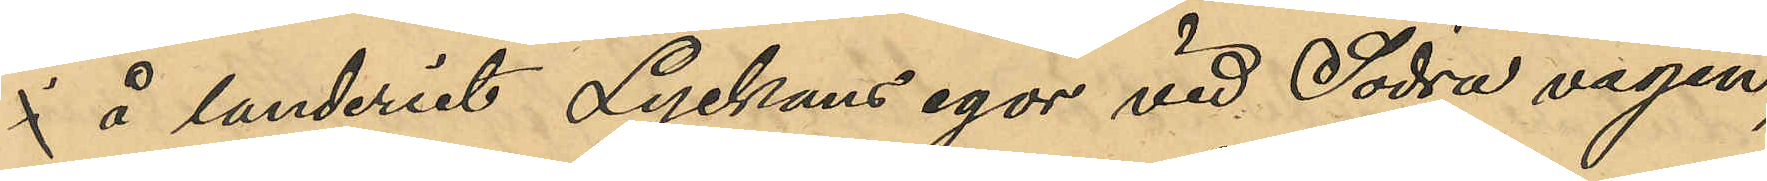i å landeriet Lyckans egor vid Södra vägen;
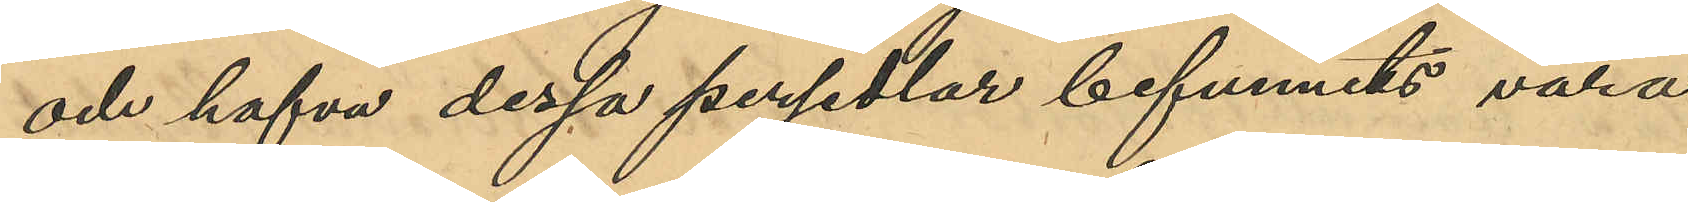och hafva dessa persedlar befunnits vara
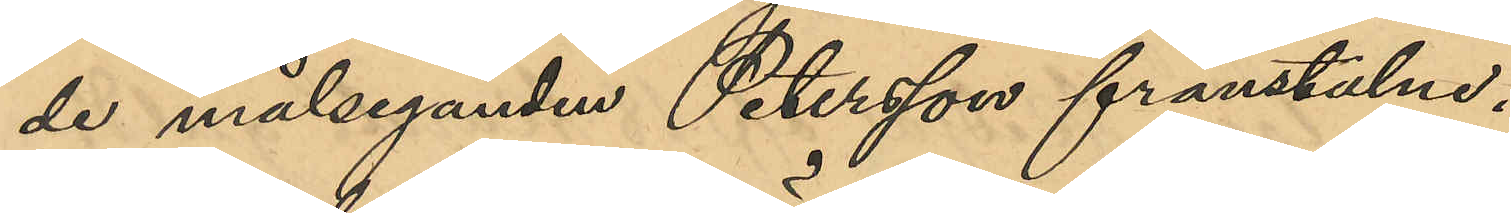de målseganden Peterssons frånstulne.
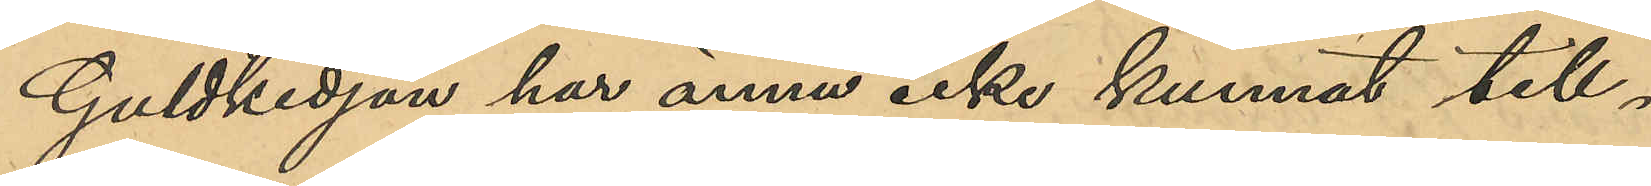Guldkedjan har ännu icke kunnat till¬
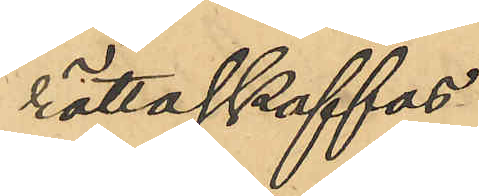rättaskaffas.
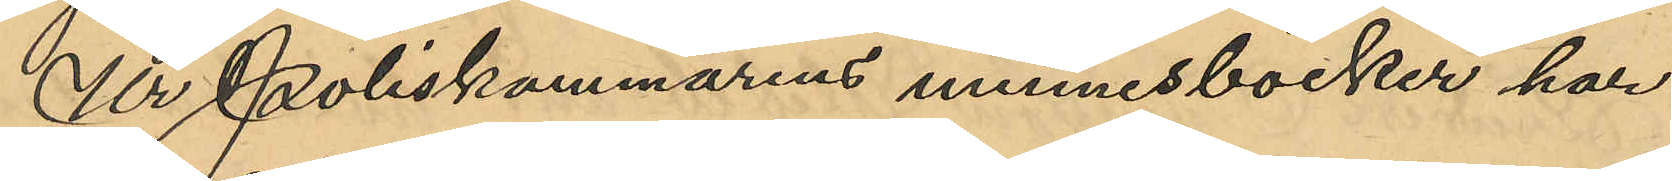Ur Poliskammarens minnesböcker har
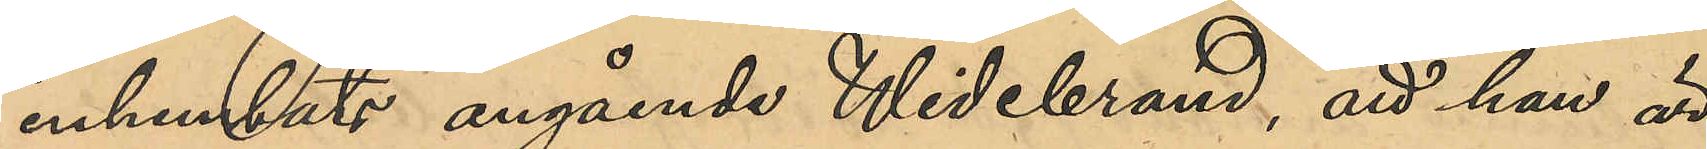inhemtats angående Widebrand, att han är
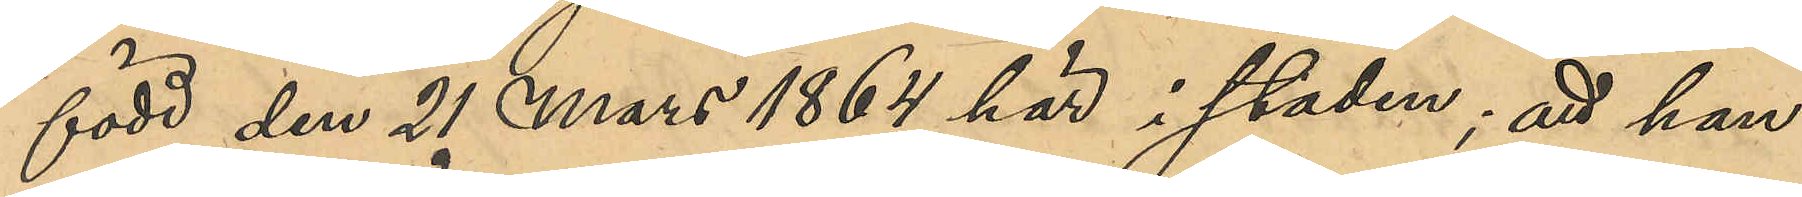född den 21 Mars 1864 här i staden; att han
